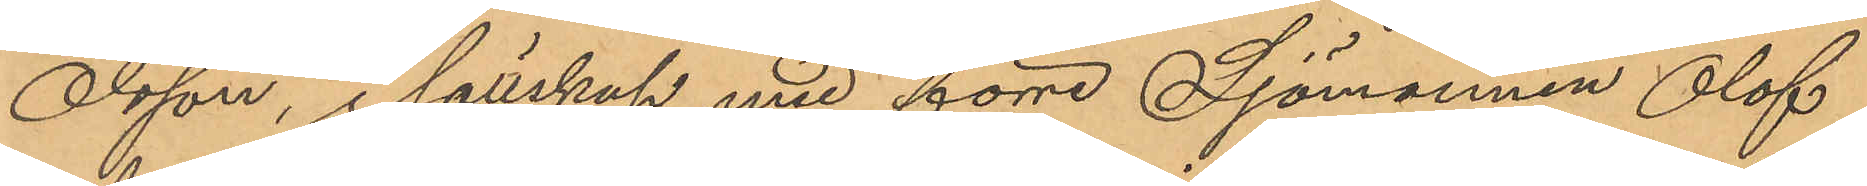Olsson, i sällskap med förre Sjömannen Olof
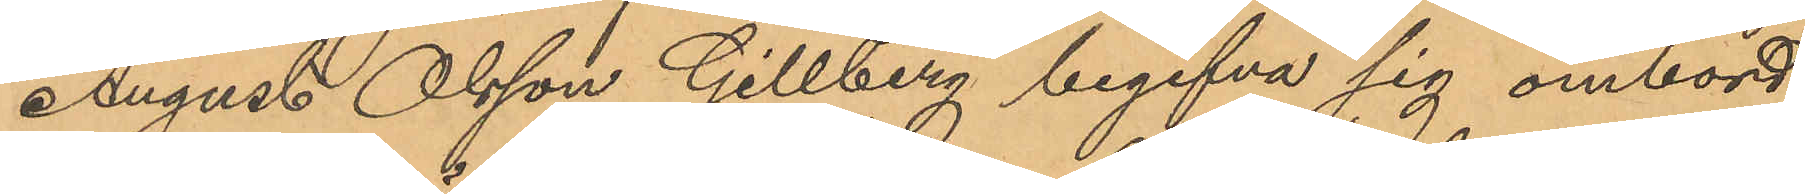August Olsson Gillberg begifva sig ombord
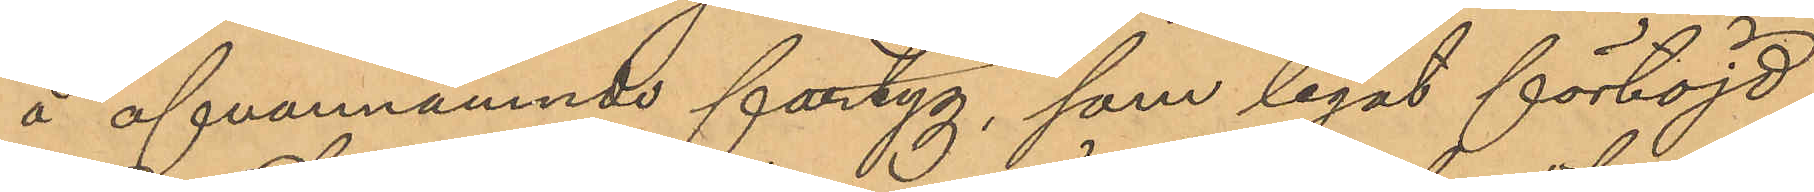å ofvannämnde fartyg, som legat förtöjd
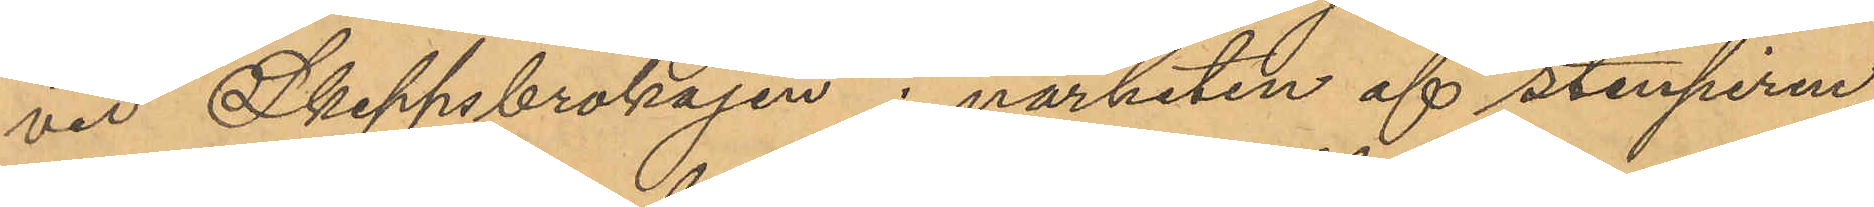vid Skeppsbrokajen i närheten af Stenpiren;
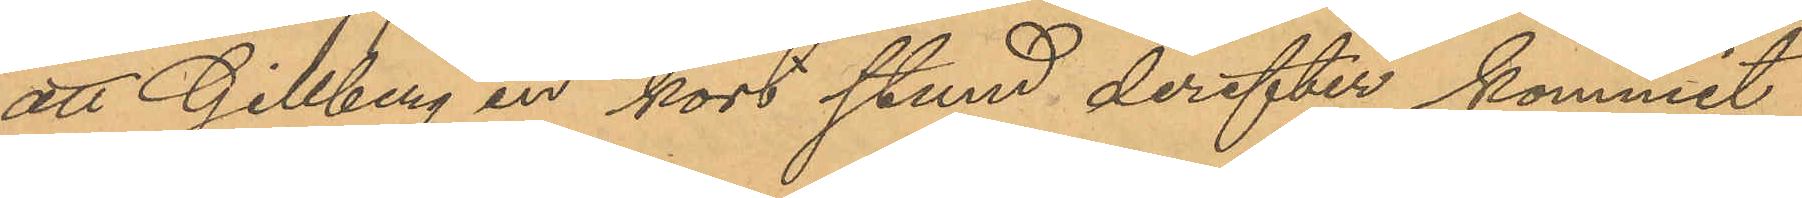att Gillberg en kort stund derefter kommit
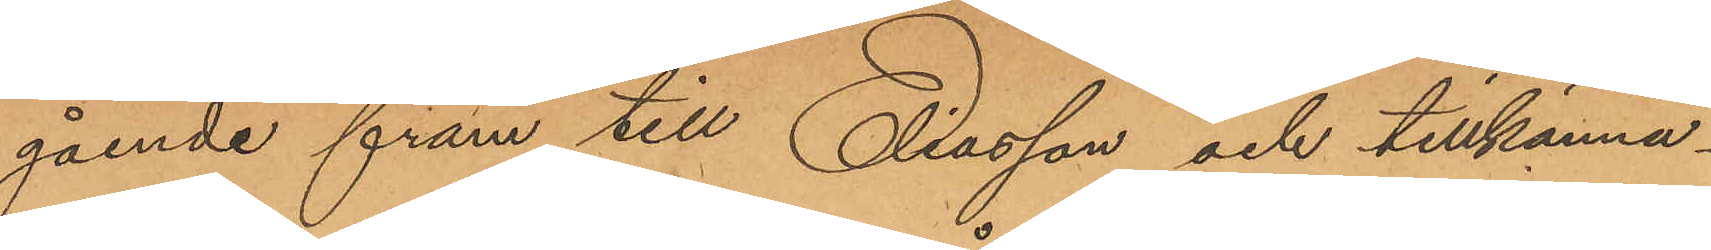gående fram till Eliasson och tillkänna¬
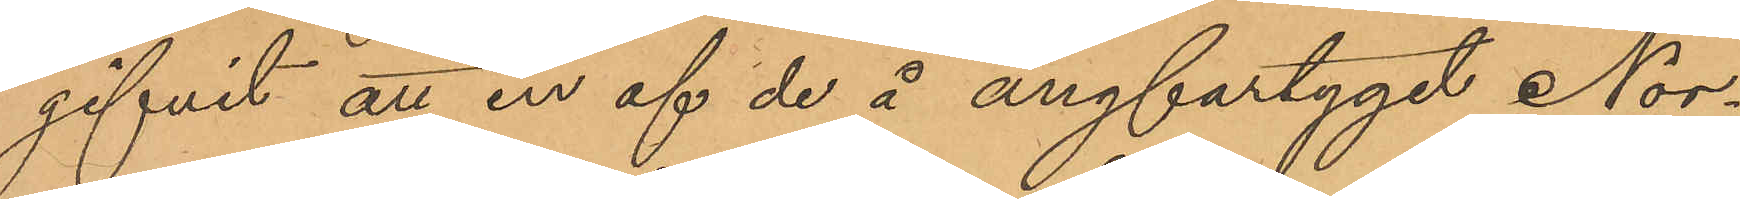gifvit att en af de å ångfartyget Nor¬
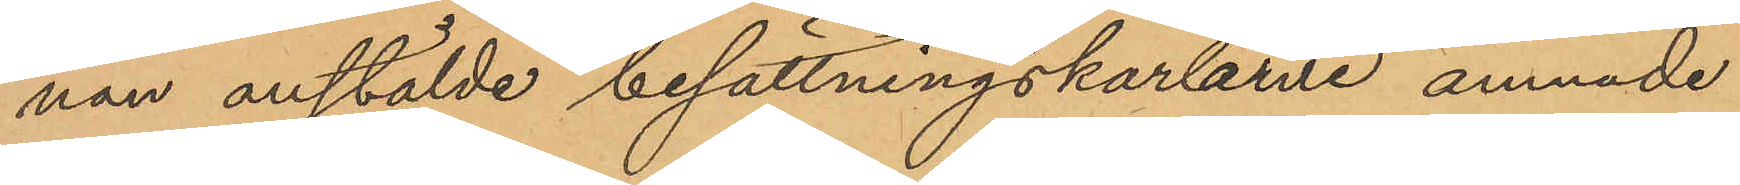nan anstälde besättningskarlarne ämnade
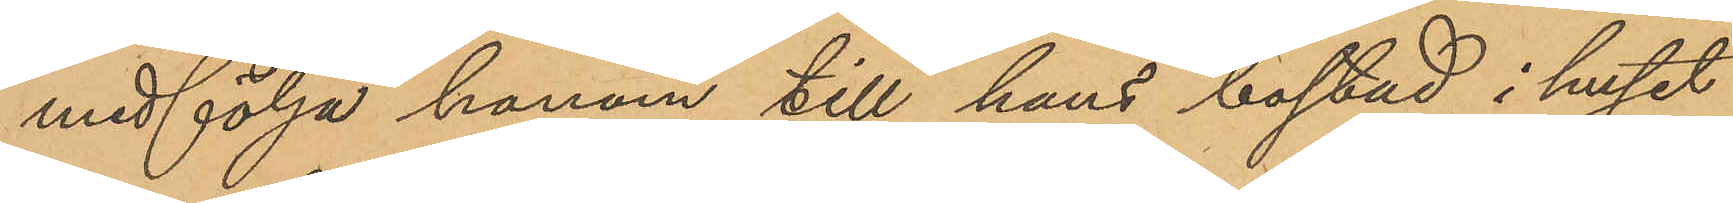medfölja honom till hans bostad i huset
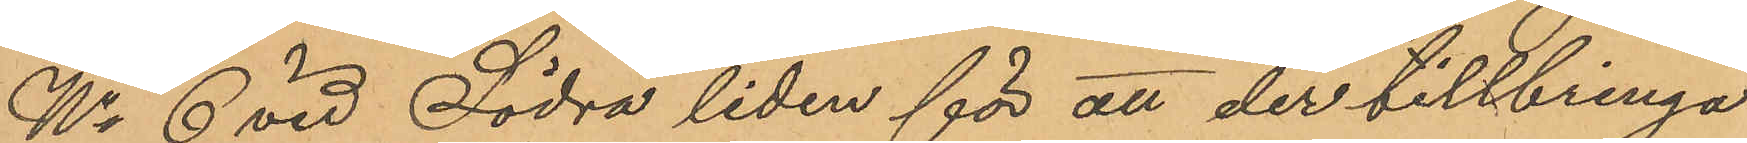No 6 vid Södra liden för att der tillbringa
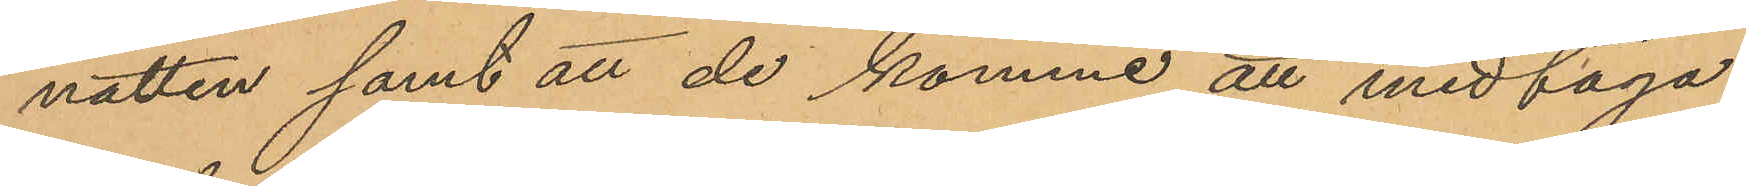natten samt att de komme att medtaga
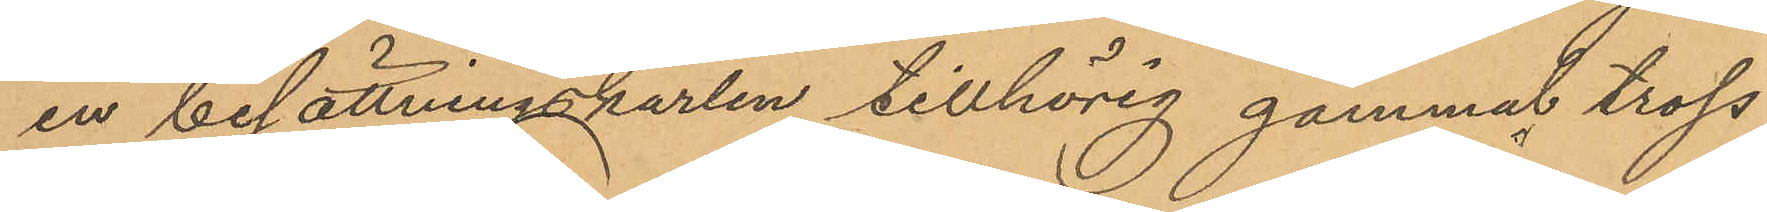en besättningskarlen tillhörig gammal tross;
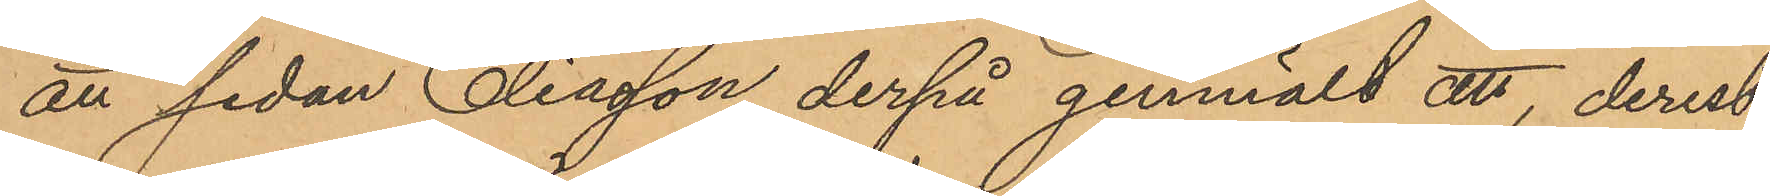att sedan Eliasson derpå genmält att, derest
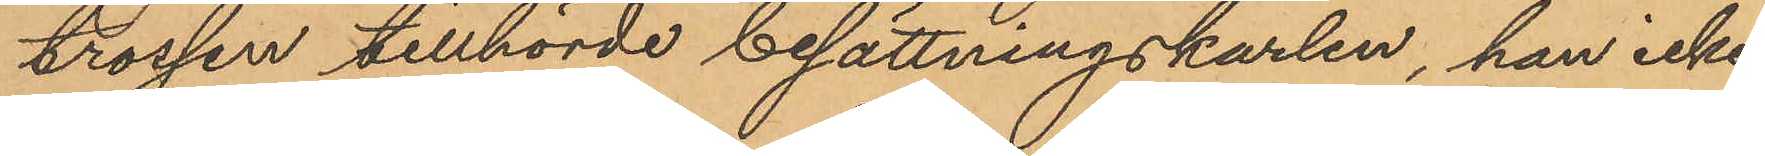trossen tillhörde besättningskarlen, han icke
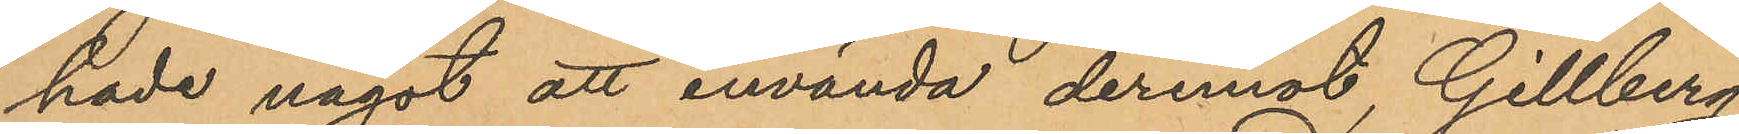hade något att invända deremot, Gillberg
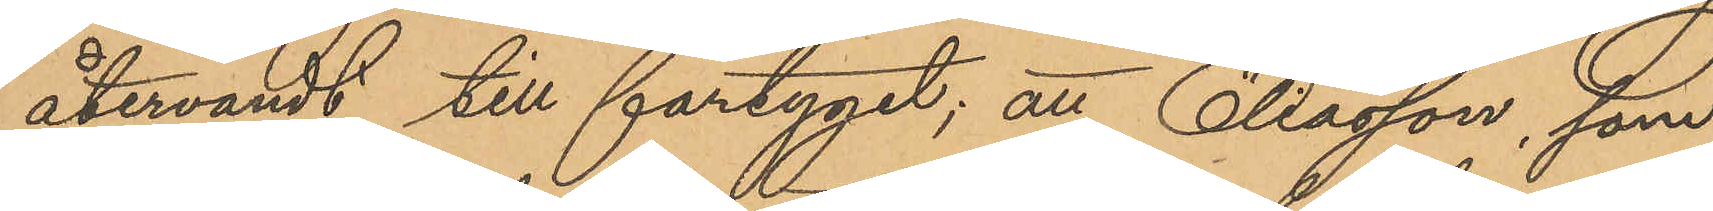återvändt till fartyget; att Eliasson, som
